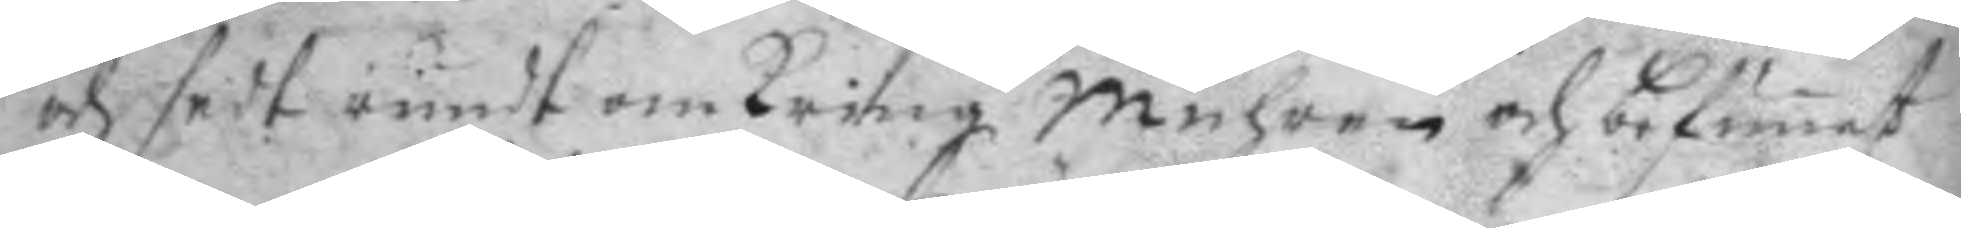och sedt rundt omkring muhren och befunnet
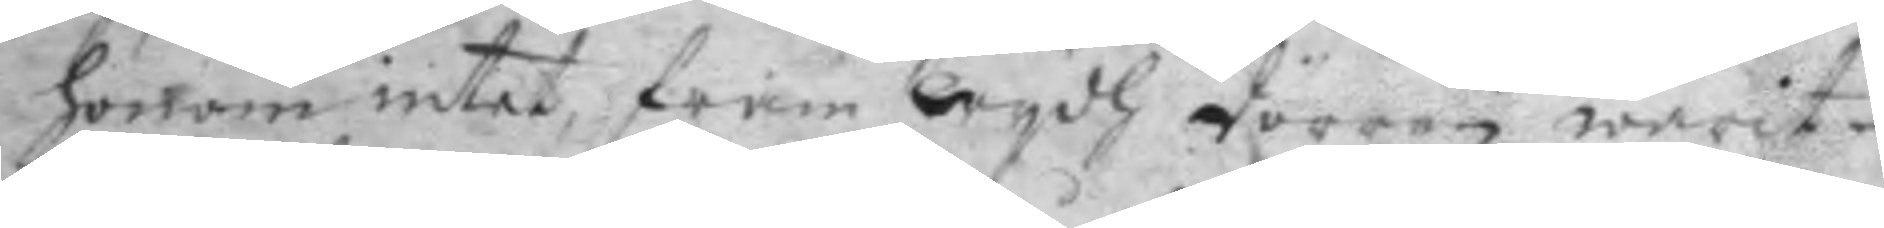honom intet, fram wydh dörren warit
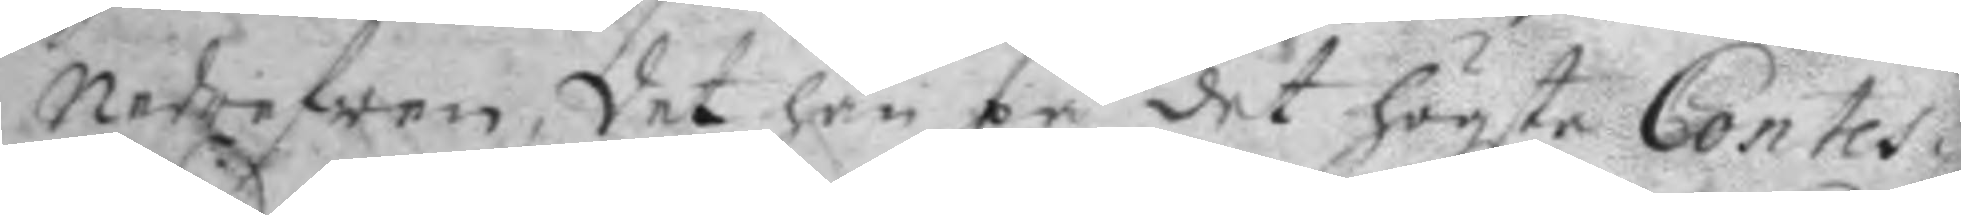nedrifwen, det han på det högsta Contes¬
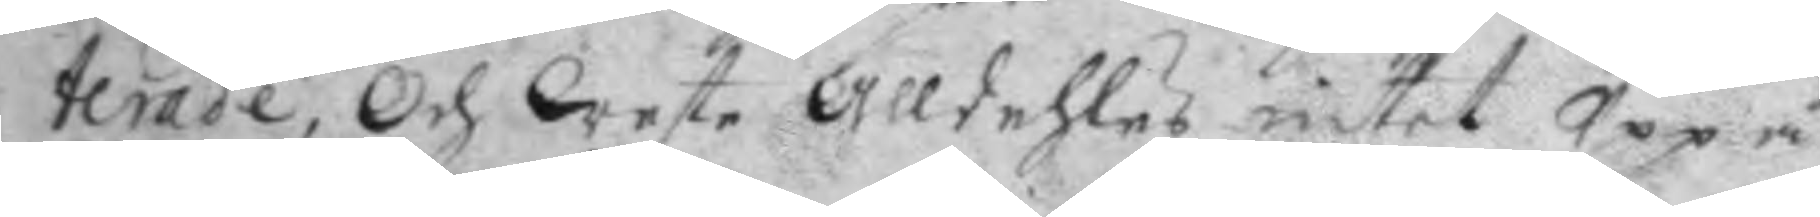terade, och wete alldehles intet Uppå.
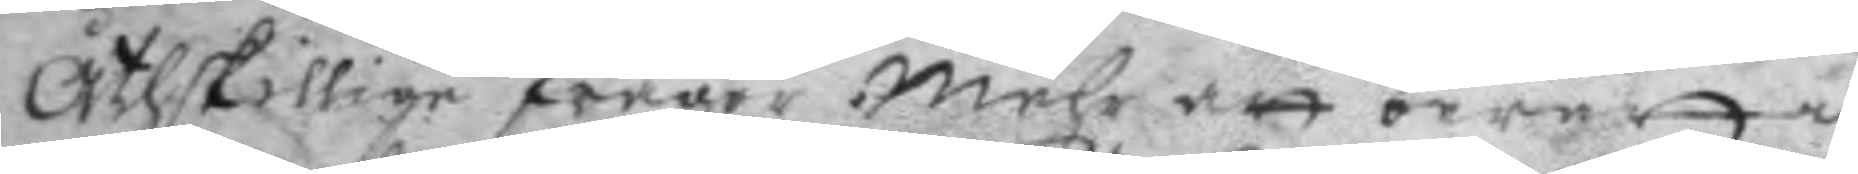åthskillige fråger mehr att berätta
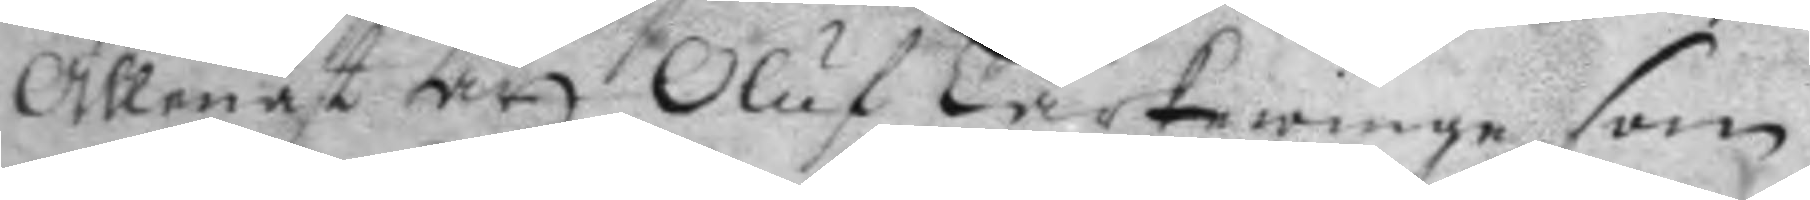allenast att Oluf Lärkewinge som
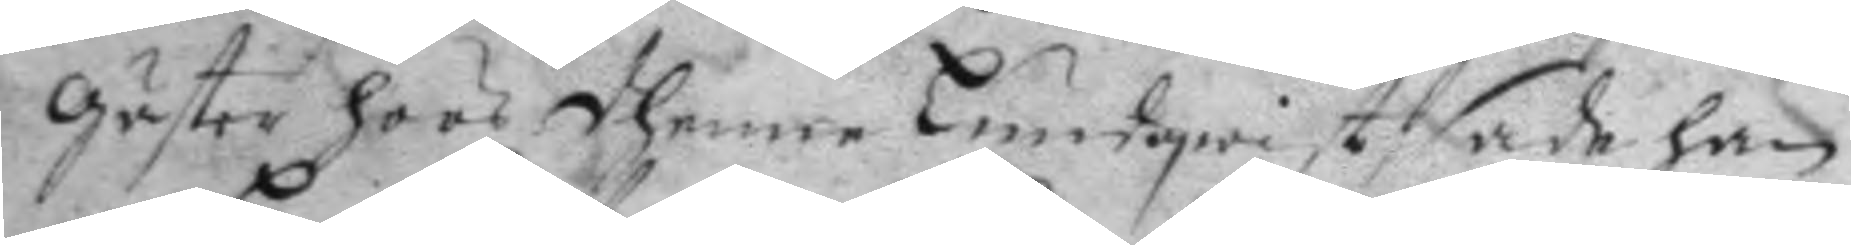gäster hoos dhenne Lundqwist sade han
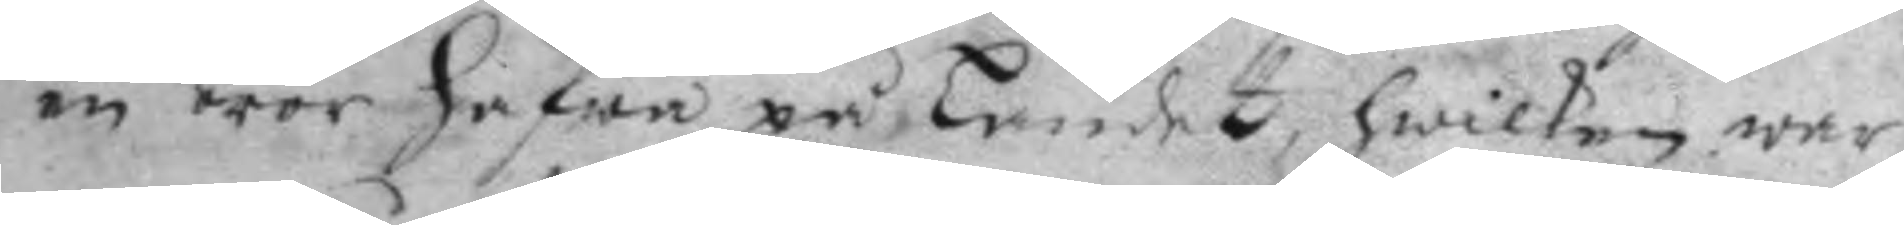en bror hafwa på landet, hwilken war
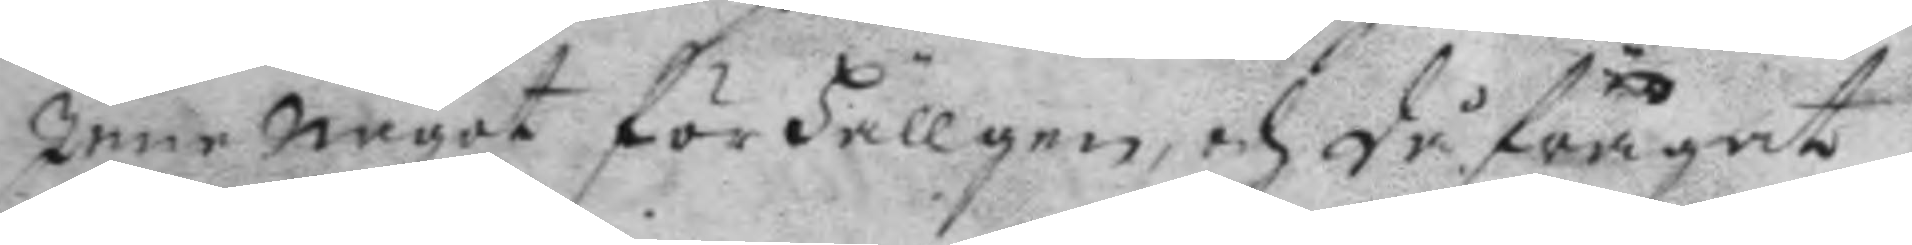Inne något för hellgen, och då frågad
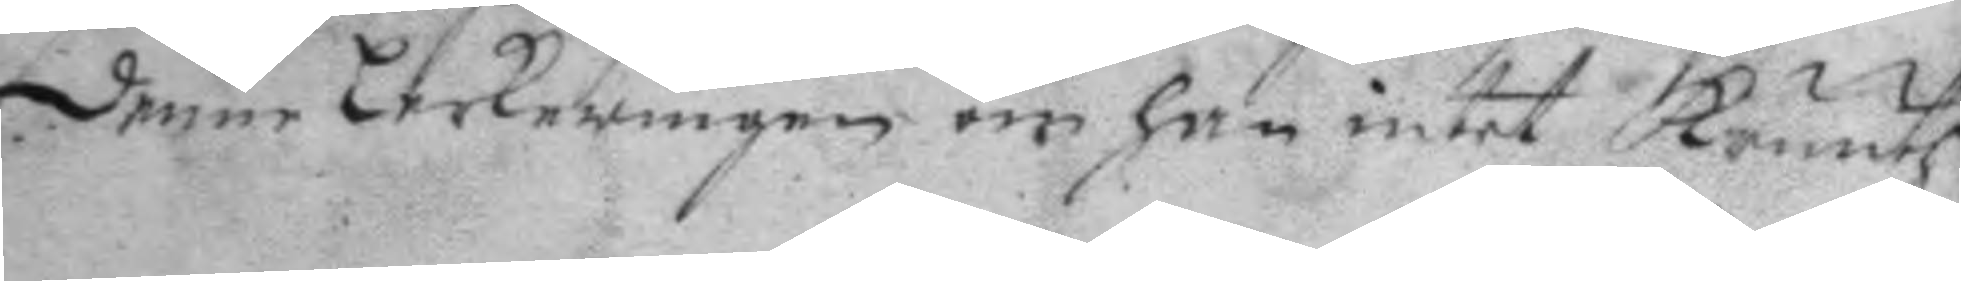denne Lerkewingen om han intet kruuth
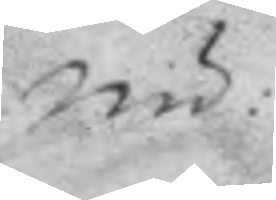nu:
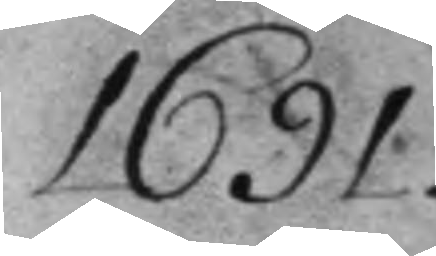1691
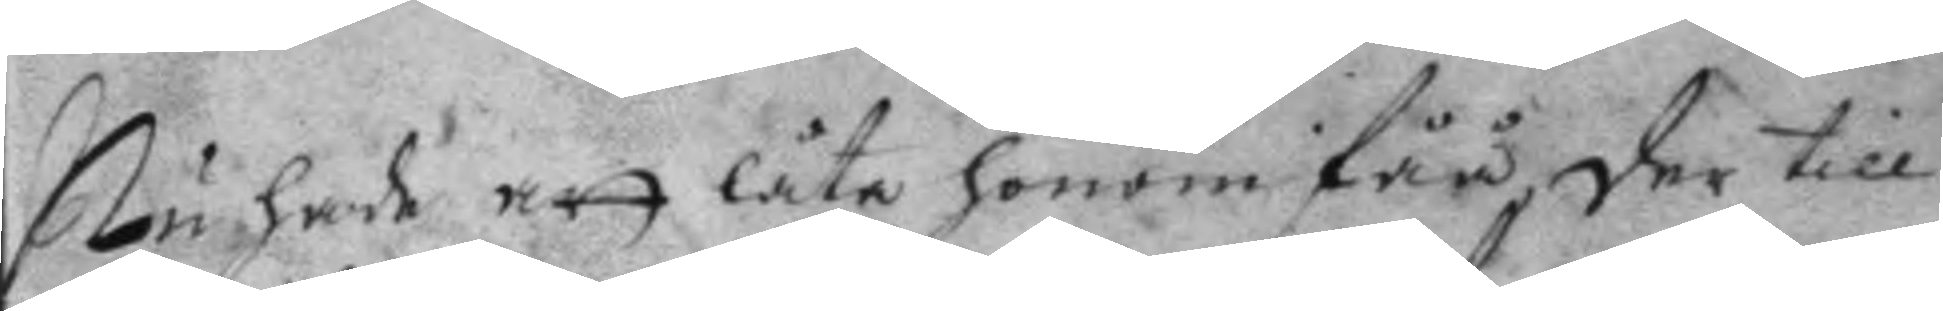nu hade att låta honom fåå, der till
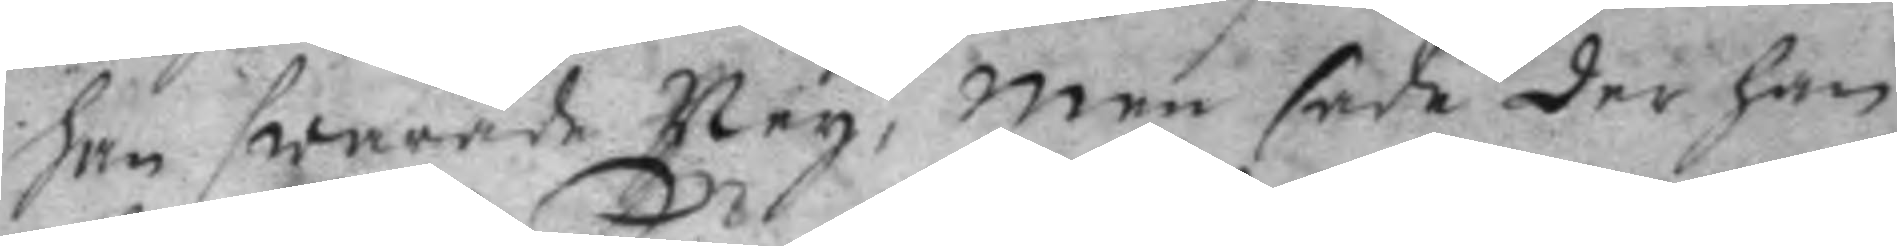han swarade Ney, men sade der han
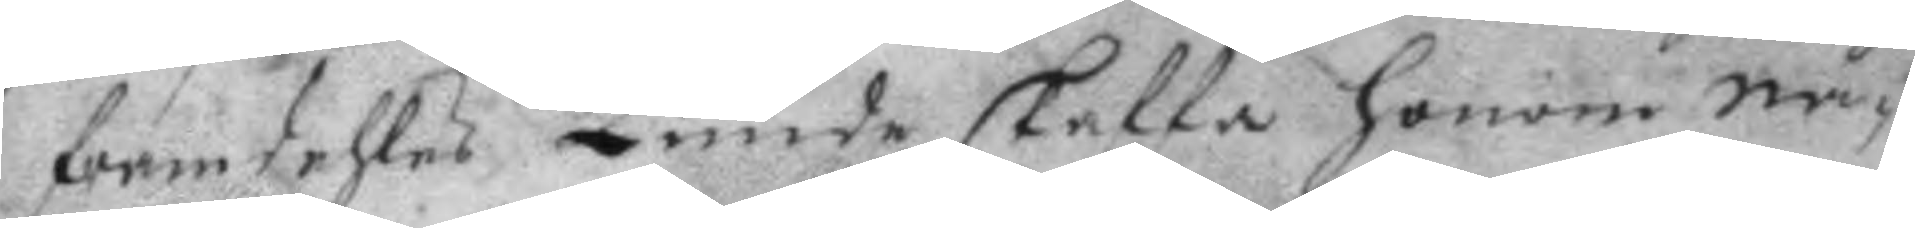framdehles kunde skaffa honom nå¬
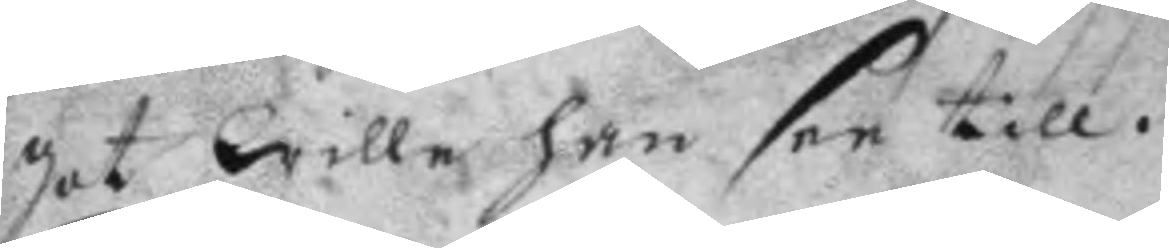got wille han see till.
